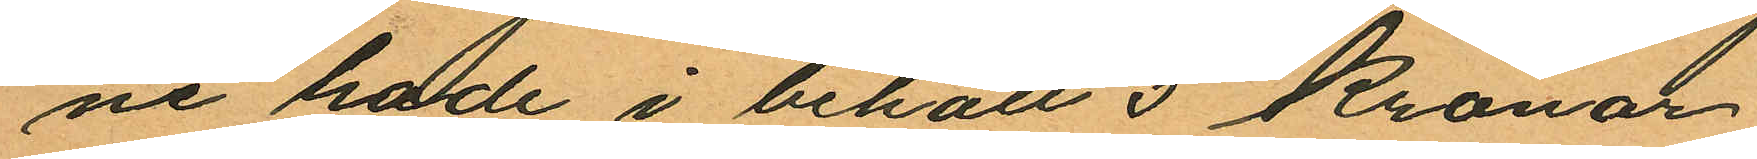ne hade i behåll 5 Kronor
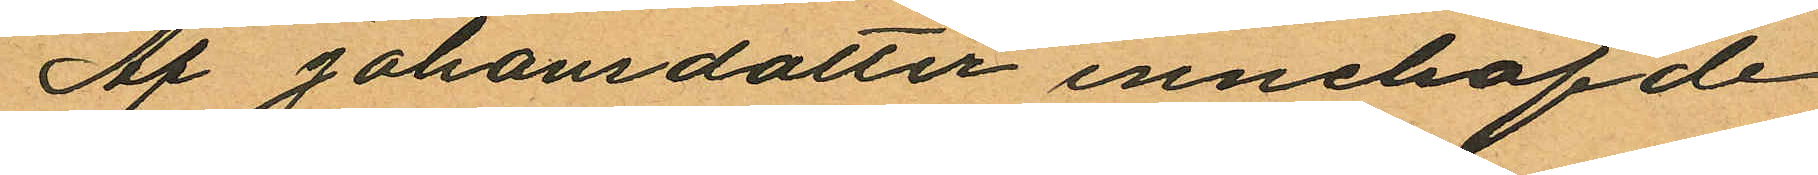Af Johansdotter innehafde
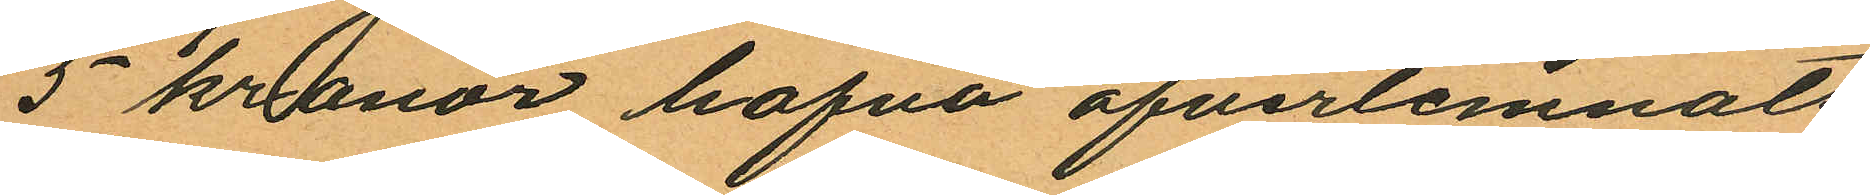5 kronor hafva öfverlemnats
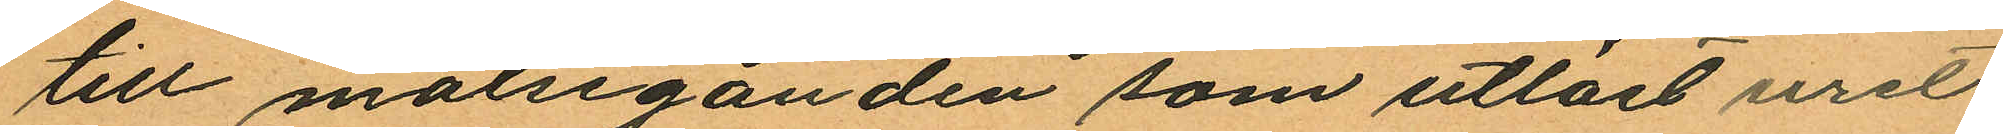till målseganden som utlöst uret.
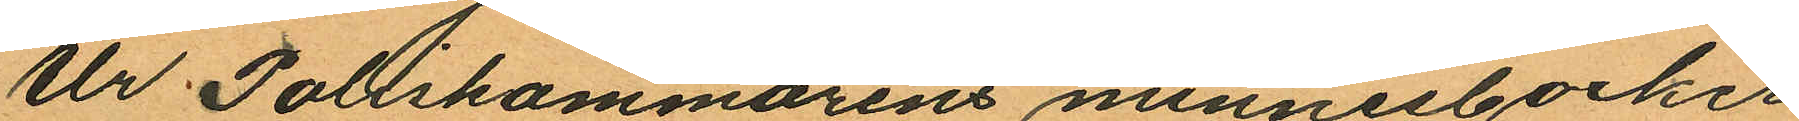Ur Poliskammarens minnesbocker
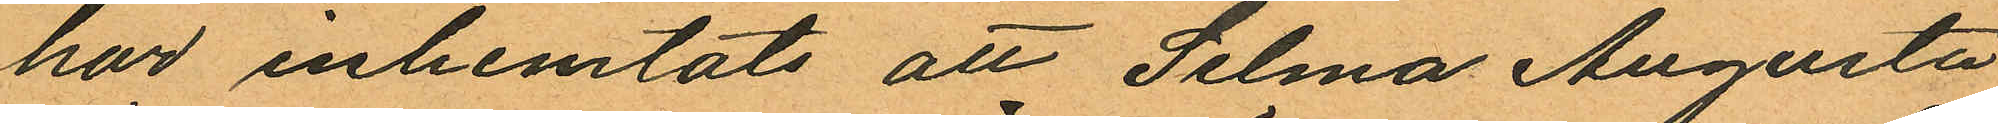har inhemtats att Selma Augusta
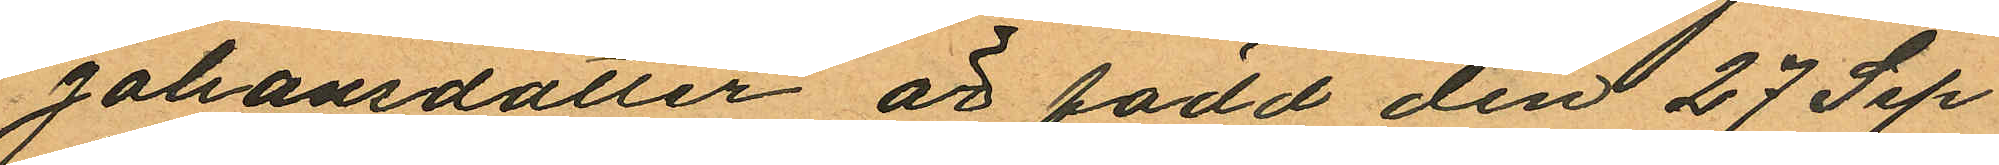Johansdotter är född den 27 Sep¬
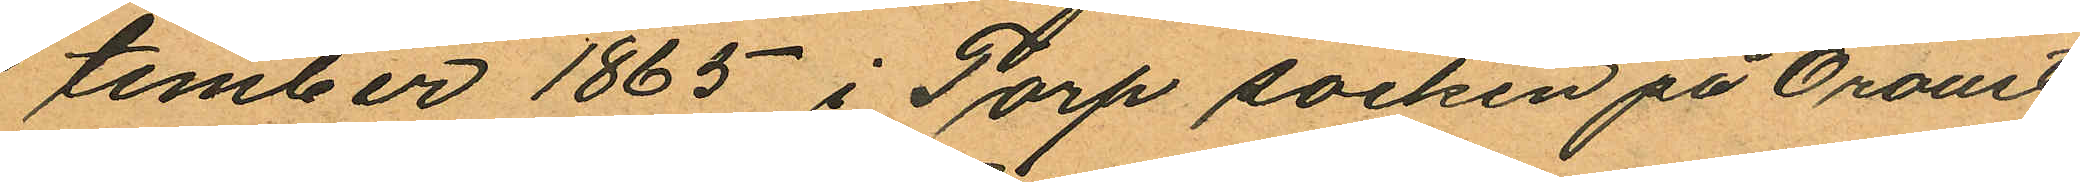tember 1865 i Torp socken på Oroust
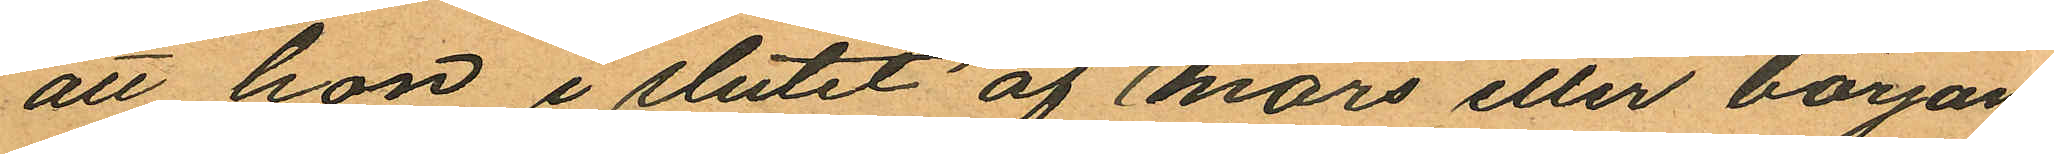att hon i slutet af Mars eller början
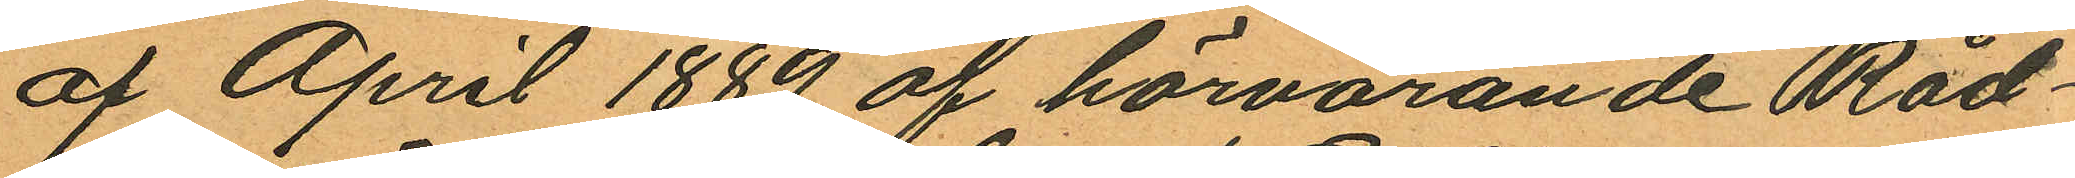af April 1889 af härvarande Råd¬
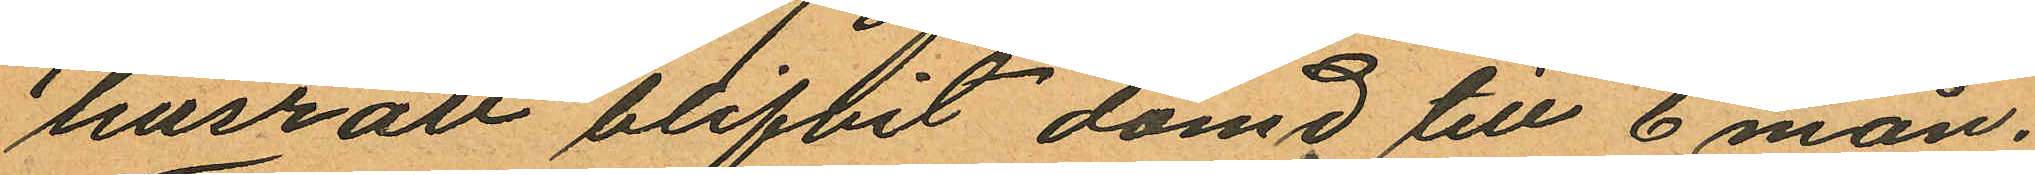husrätt blifvit dömd till 6 mån.
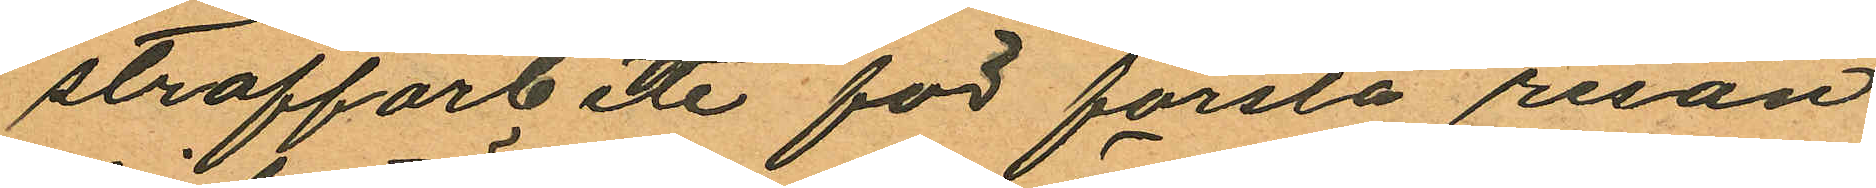straffarbete för första resan
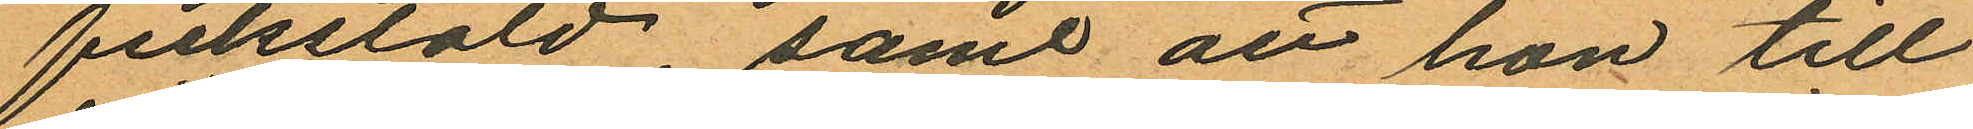fickstöld, samt att hon till
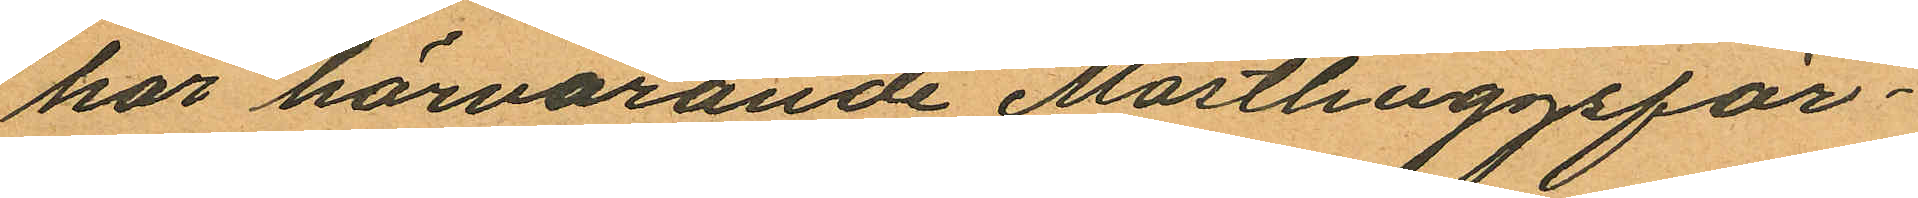hör härvarande Masthuggsför¬
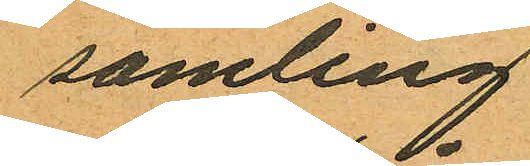samling.
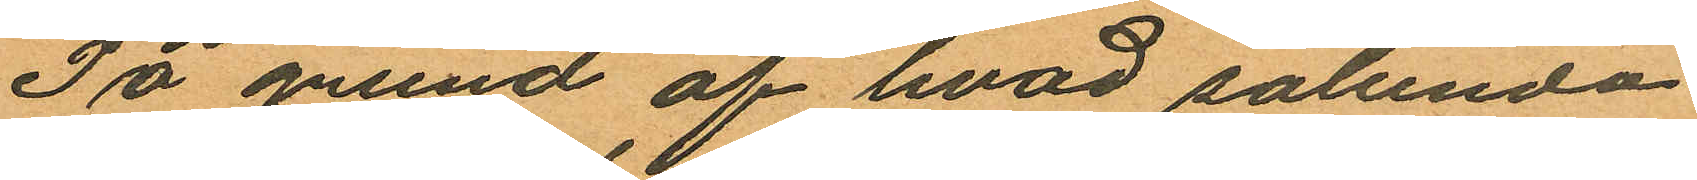På grund af hvad sålunda
